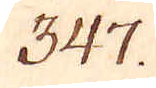347.
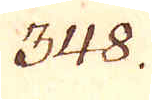348.
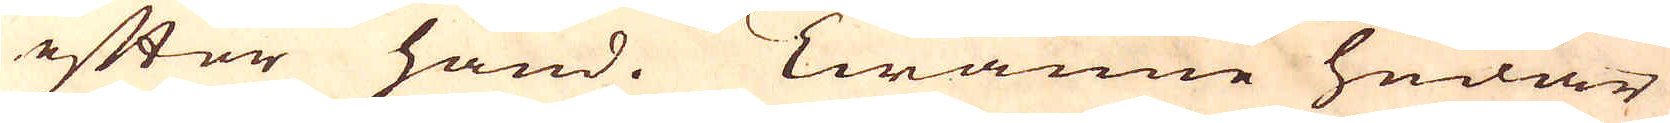efter hand. Twänne hudar
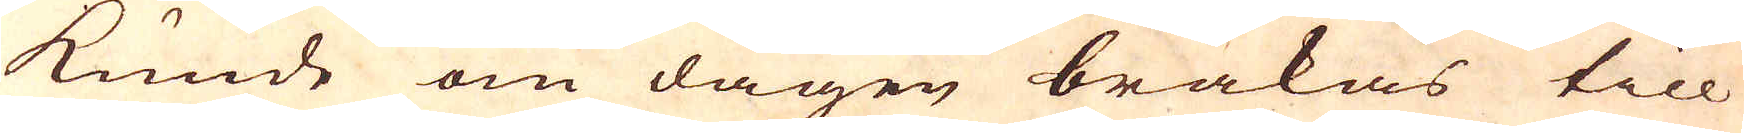kunde om dagen bråkas till
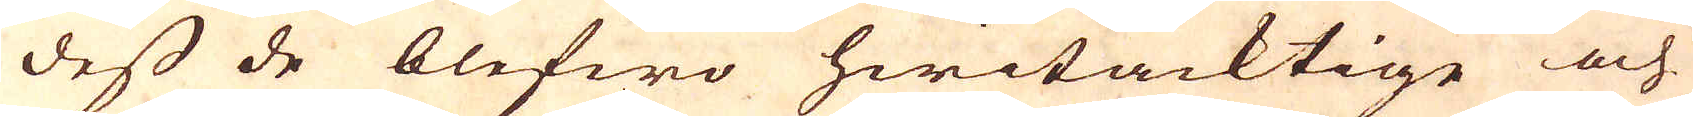dess de blefwo hwitacktige och
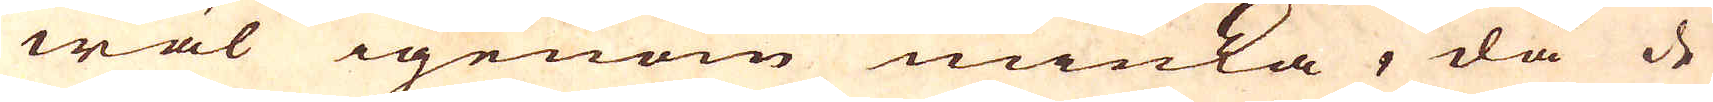wäl igenom miuka, då de
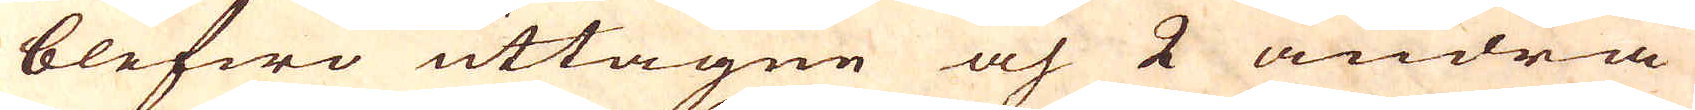blefwo uttagne och 2 andra
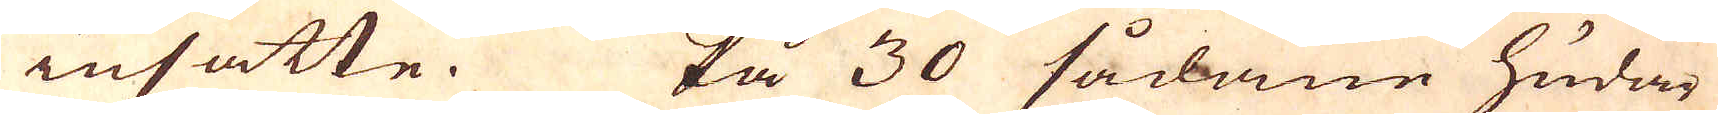insatte. På 30 sådane hudar
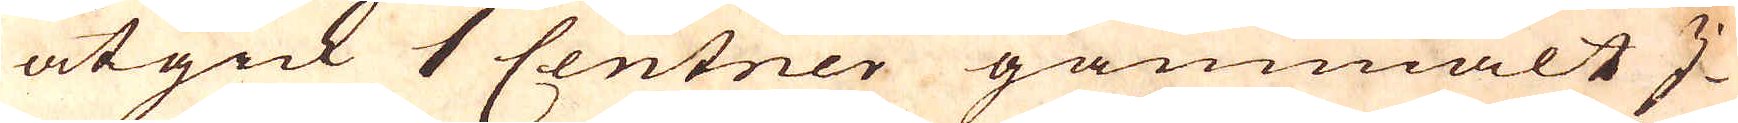åtgick 1 centner gammalt I-
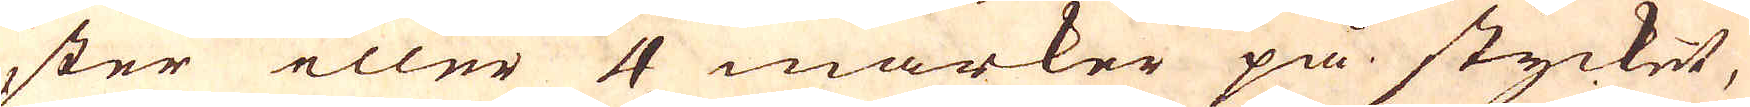ster eller 4 marker på stycket,
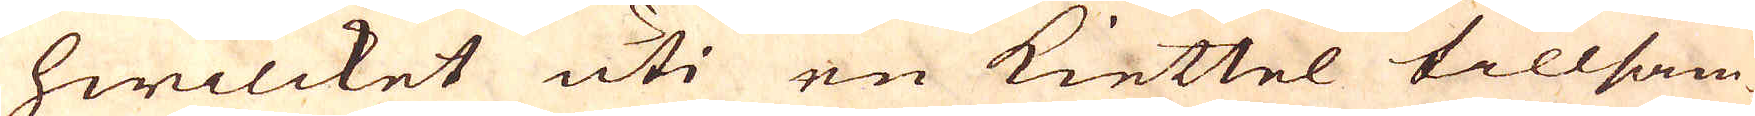hwilcket uti en kiettel tillsam-
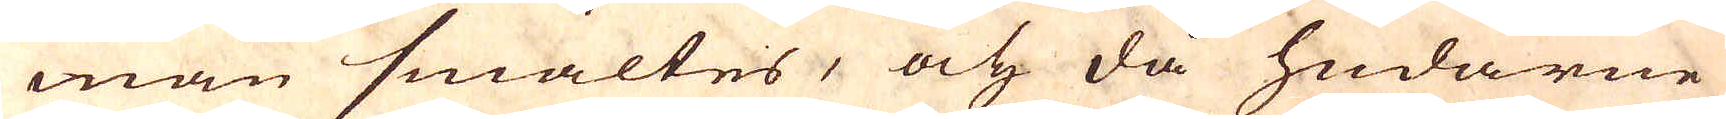man smältes, och då hudarne
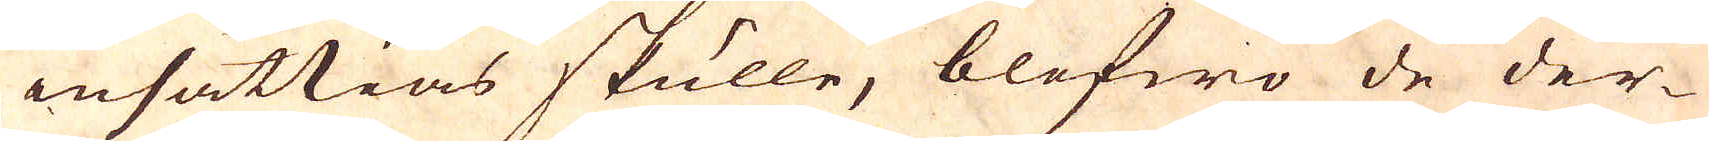insättias skulle, blefwo de der-
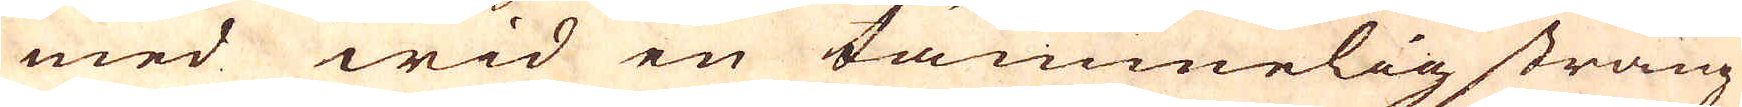med wid en tämmelig sträng
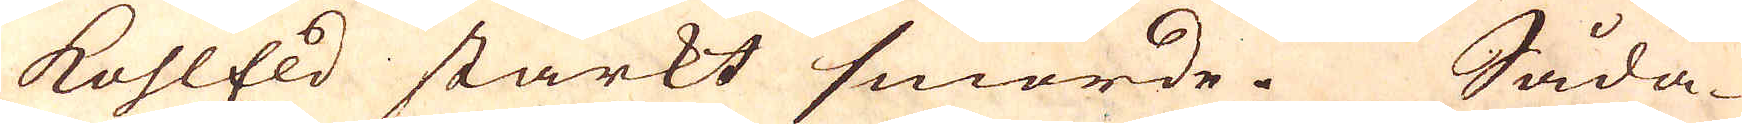kohlEld starkt smorde. Såda-
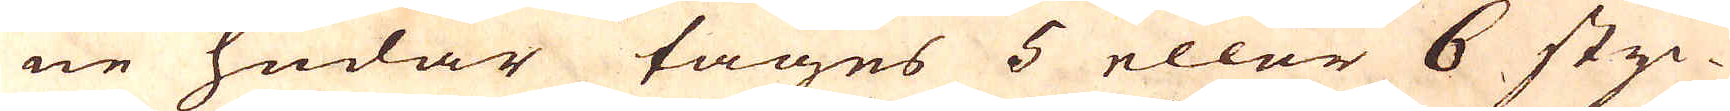ne hudar tages 5 eller 6 styc-
